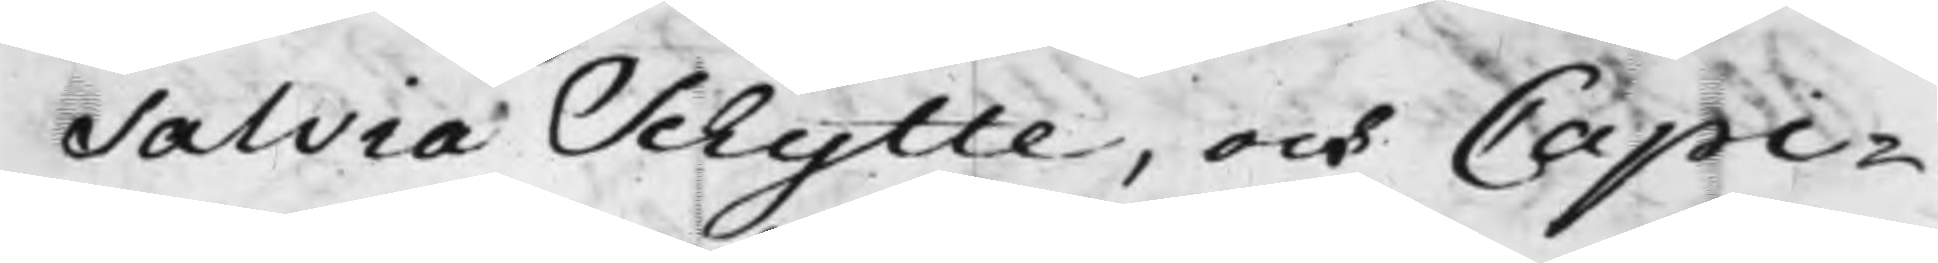Salvia Schytte, och Capi¬
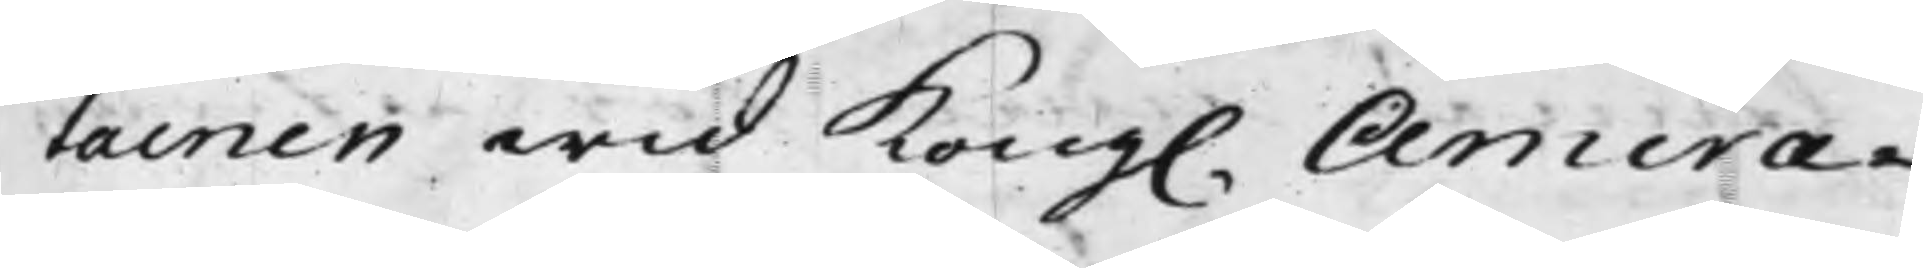tainen wid Kong. Amira¬ 
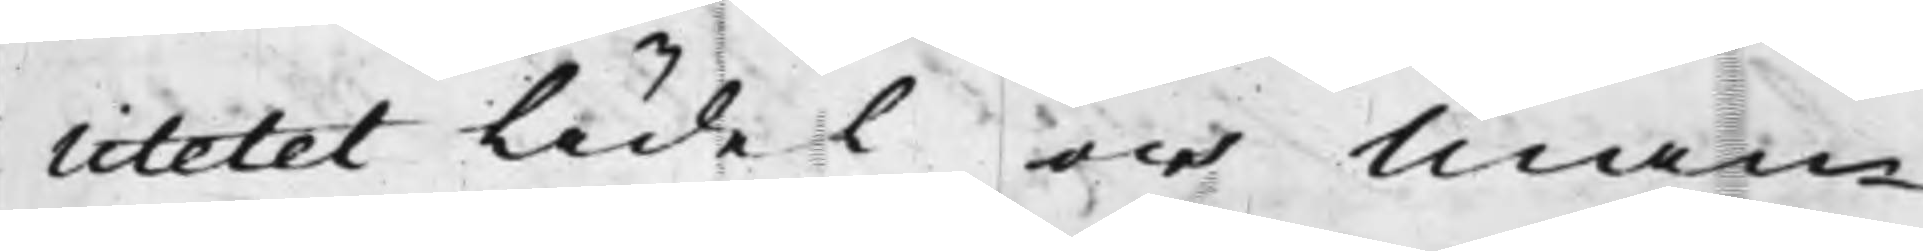litetet Äidel och Man¬
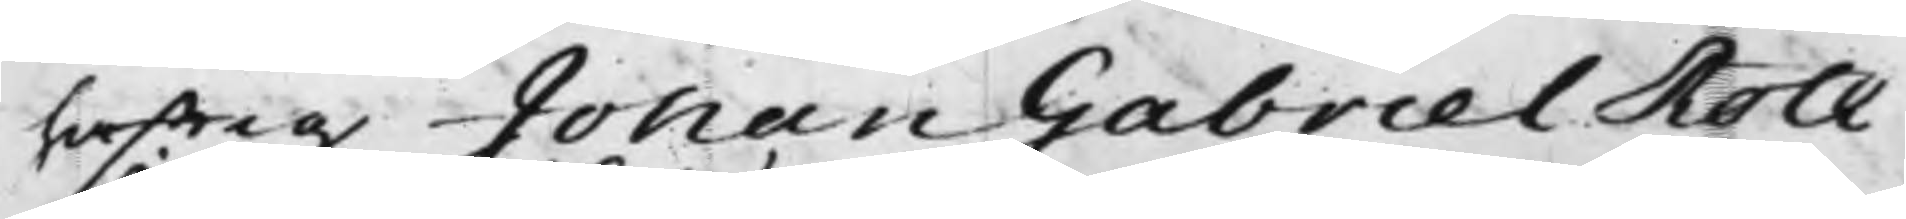hafftig Johan Gabriel Roth¬
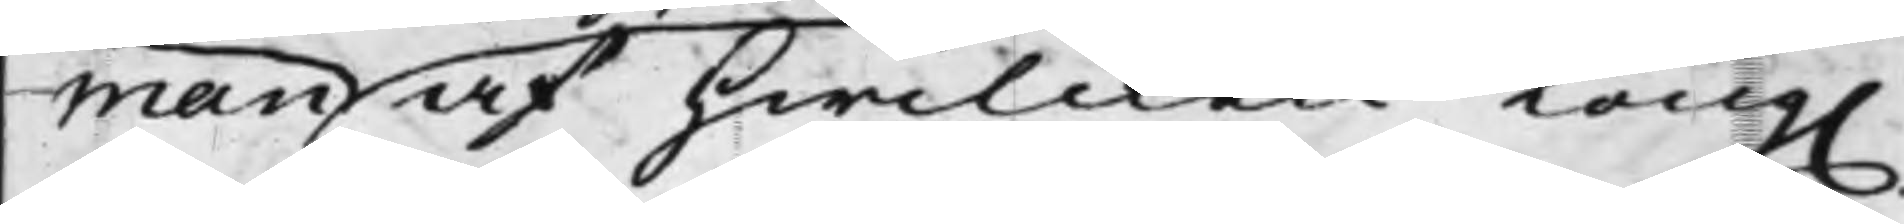man af hwilcken Kong.
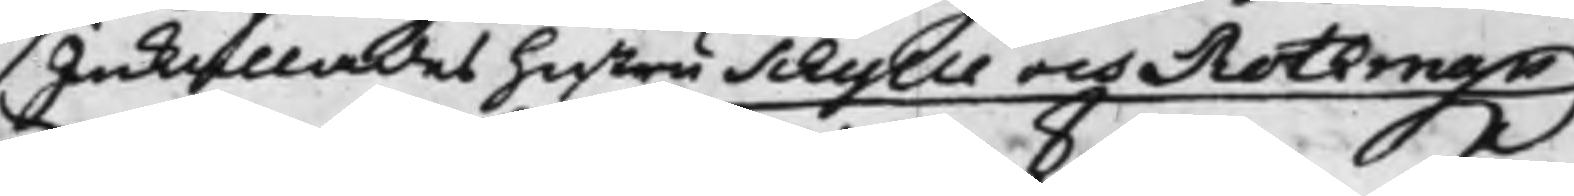Inkallades hustru Schytte och Rothman
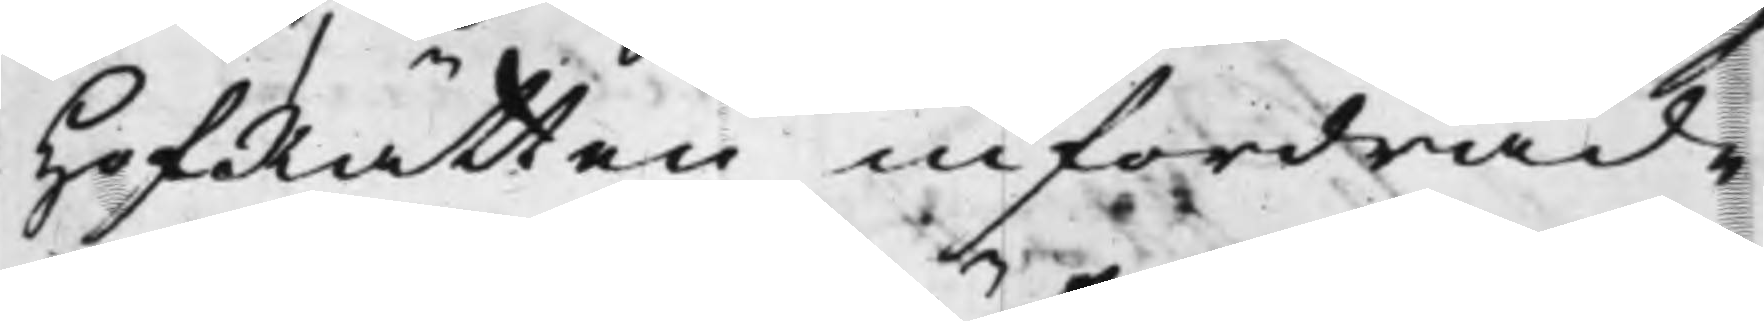HofRätten infordrade
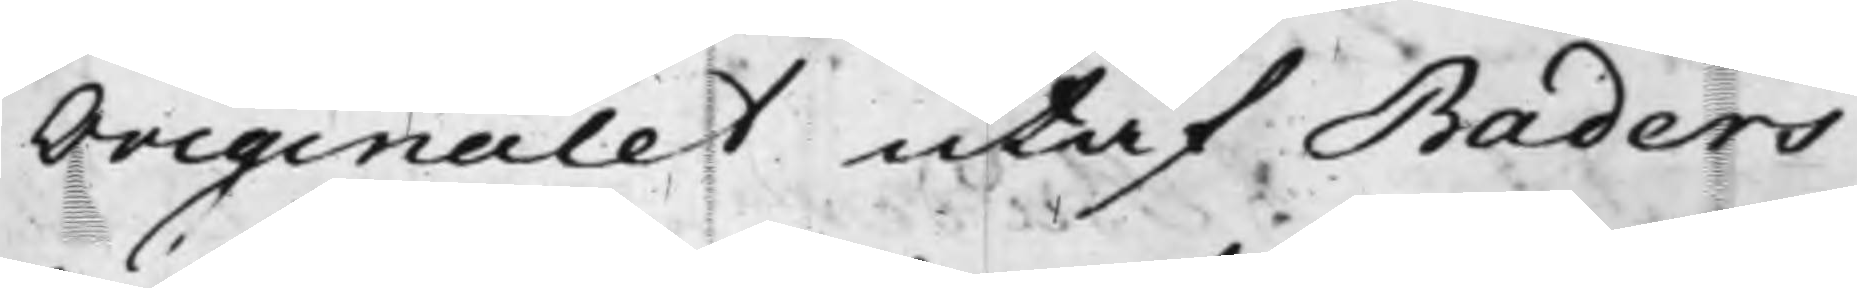Originalet utaf Baders
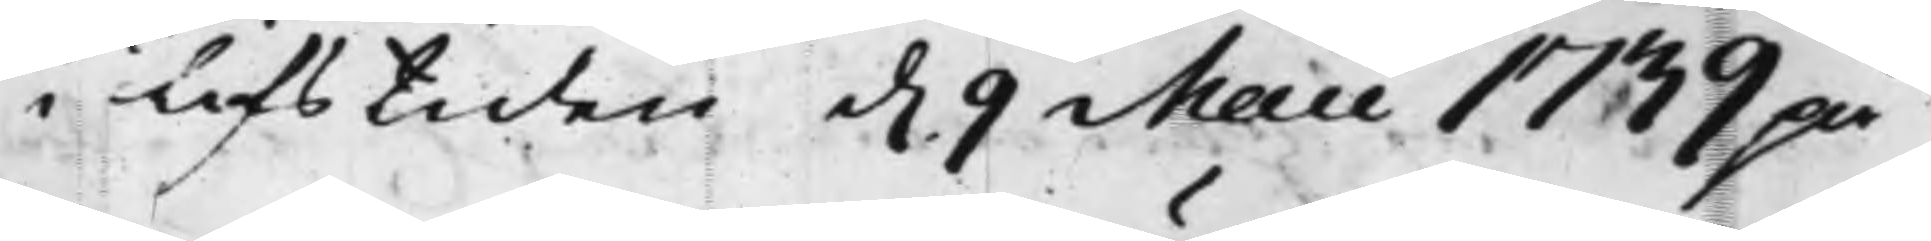i lifstiden d. 9 Maii 1739 på
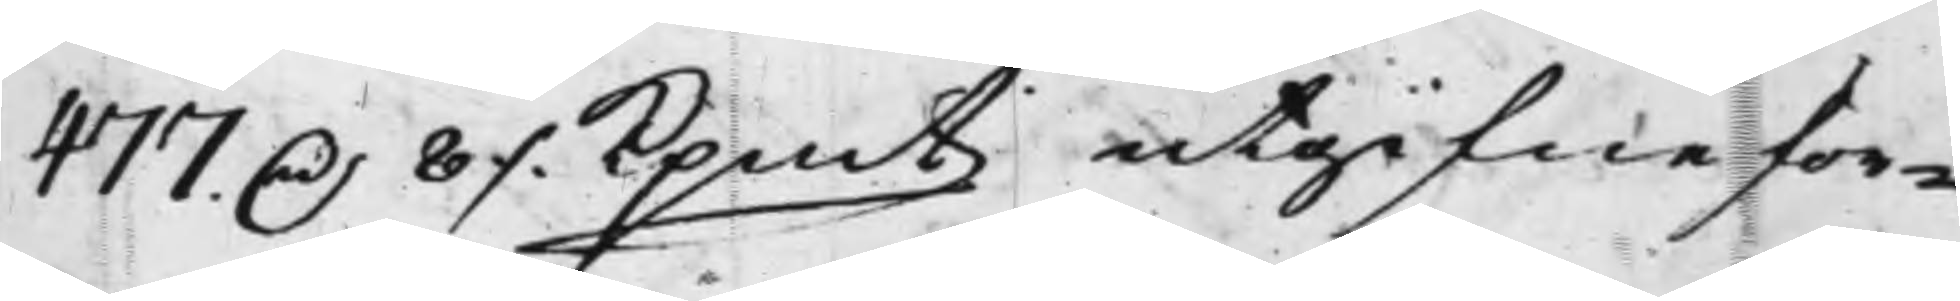477 D. 8 ./. Kpmt utgifne för¬
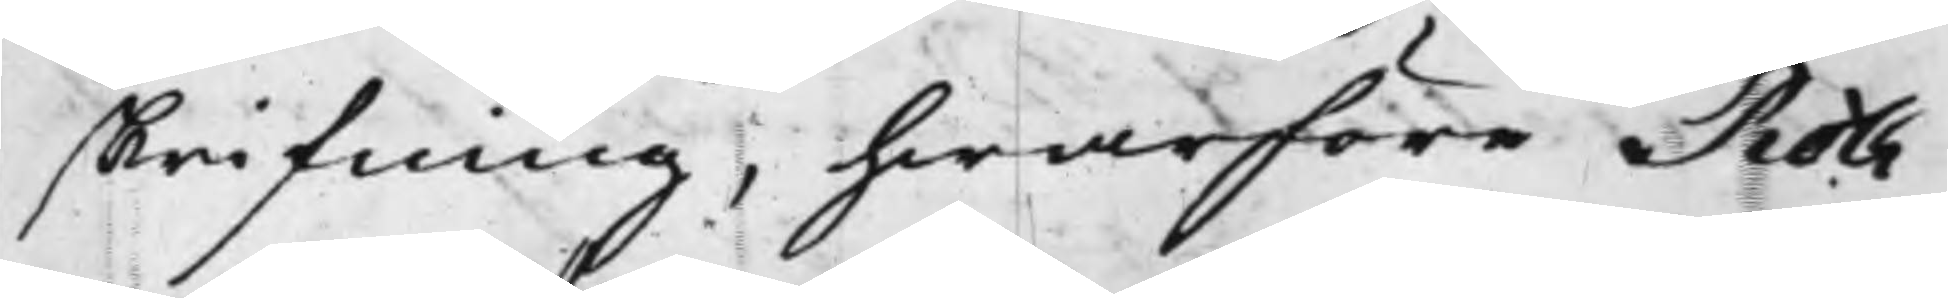skrifning, hwarföre Roth¬
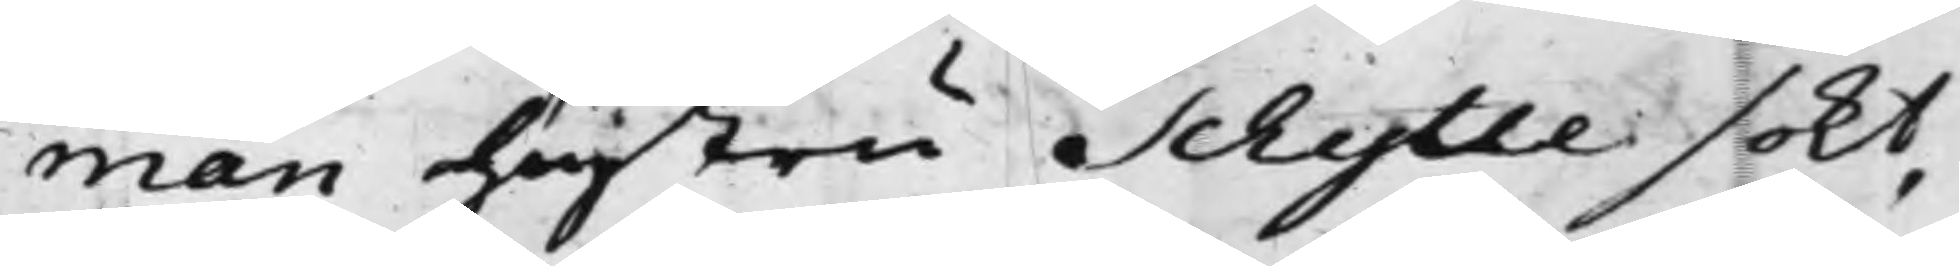man hustru Schytte sökt,
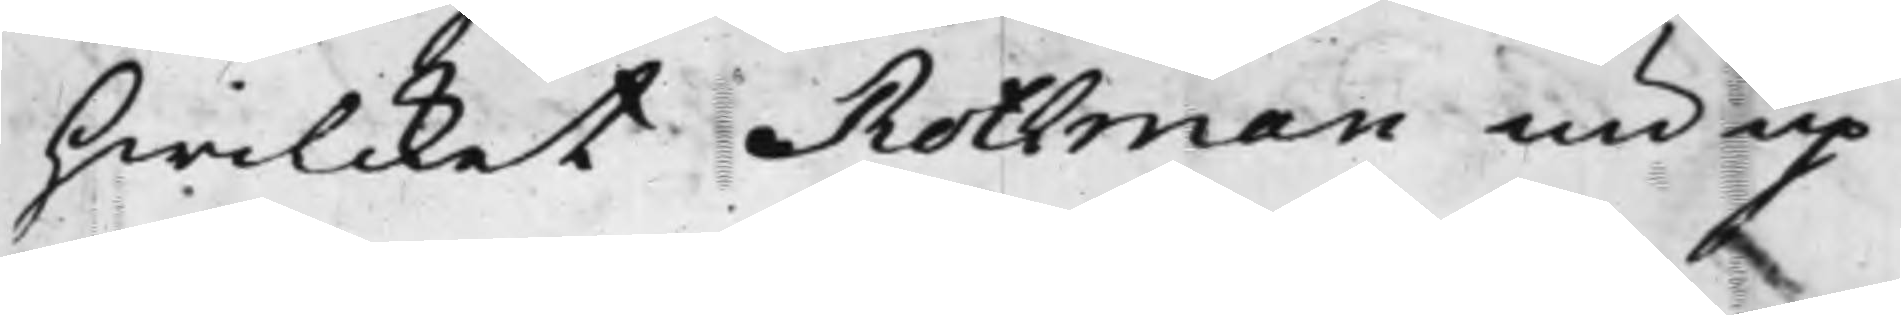hwilcket Rothman nu up¬
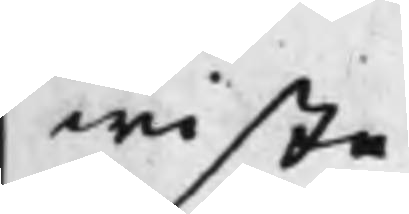wiste
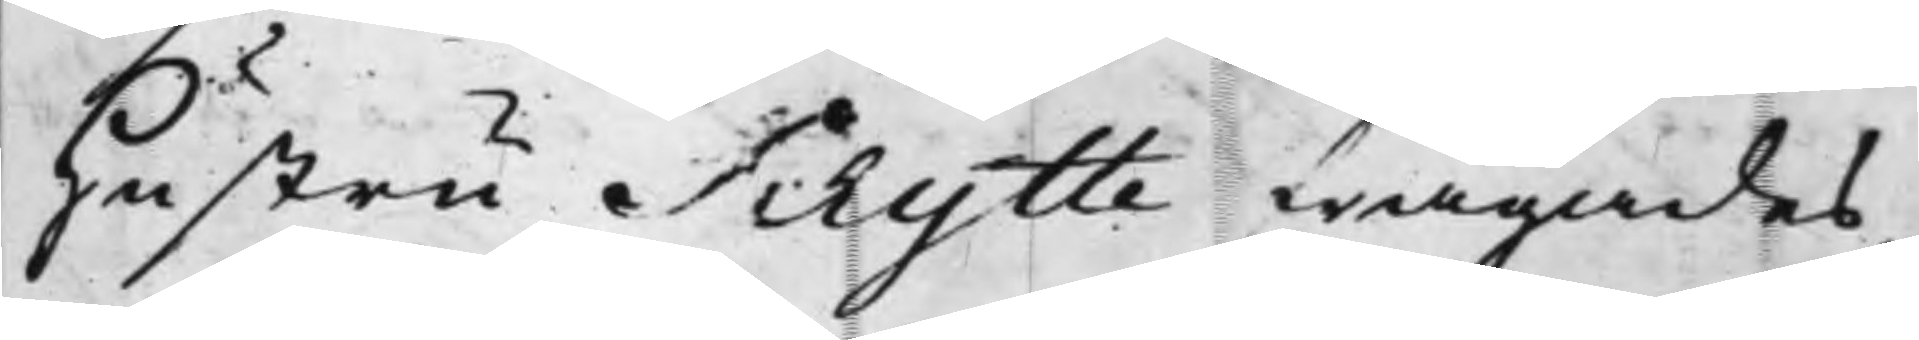Hustru Schytte frågades
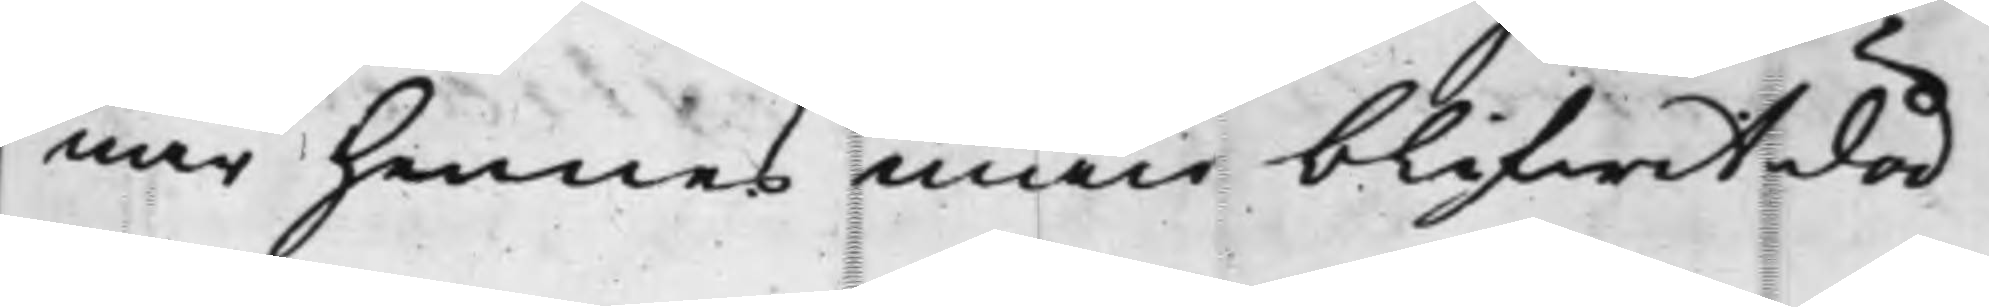när hennes min blifwit död
